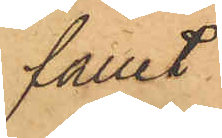fället
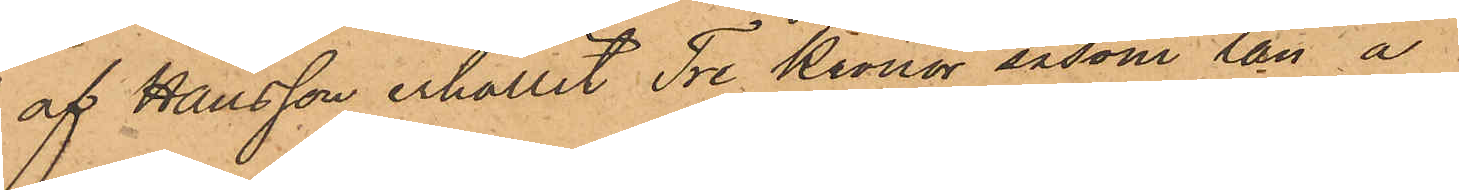af Hansson erhållit Tre Kronor såsom lån å
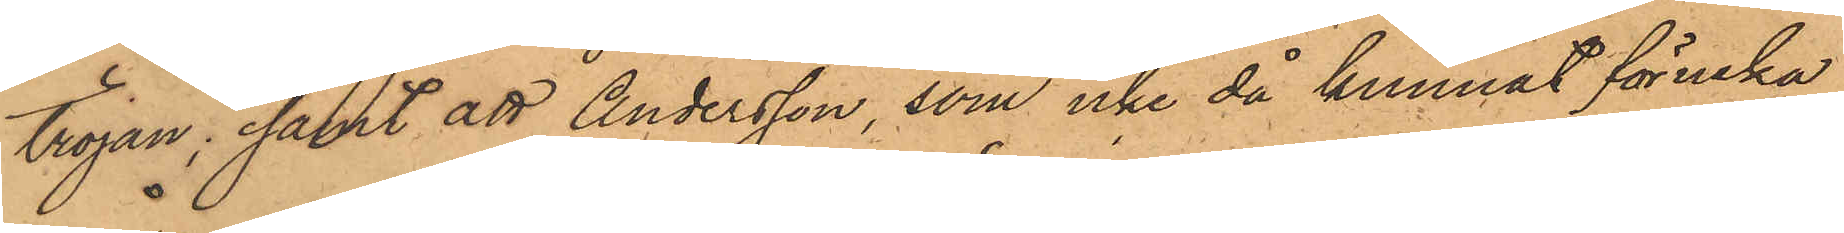tröjan; samt att Andersson, som icke då kunnat förneka
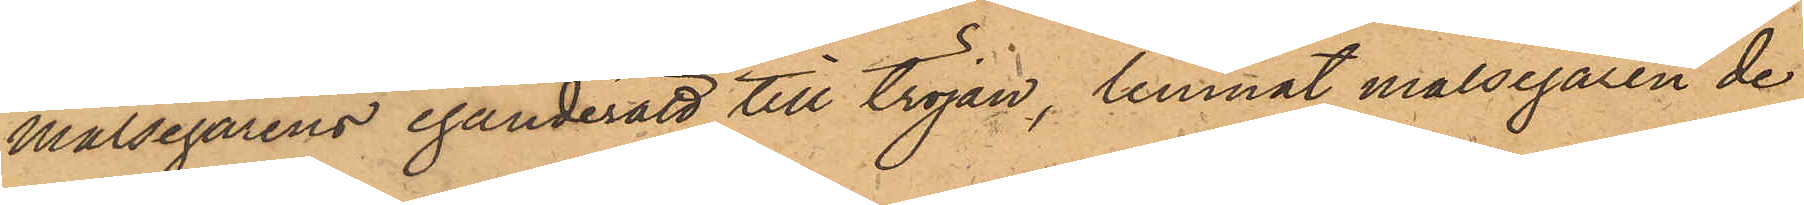Målsegarens eganderätt till tröjan, lemnat målsegaren de
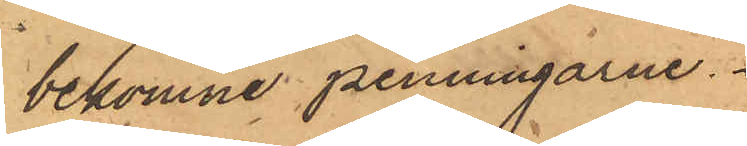bekomne penningarne.
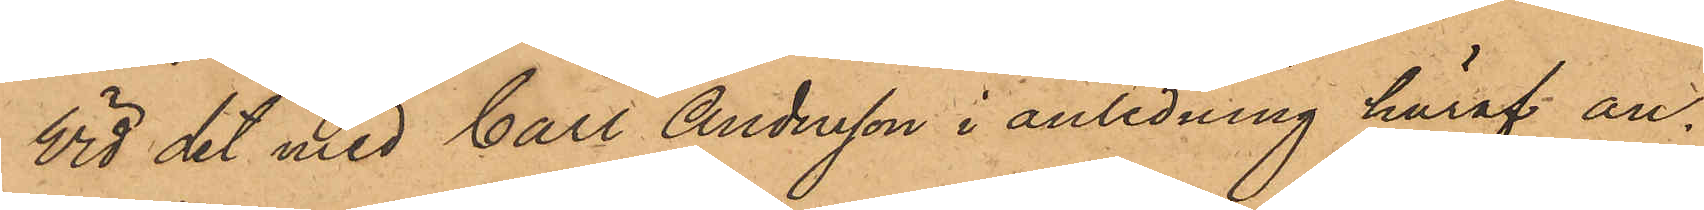Vid det med Carl Andersson i anledning häraf an¬
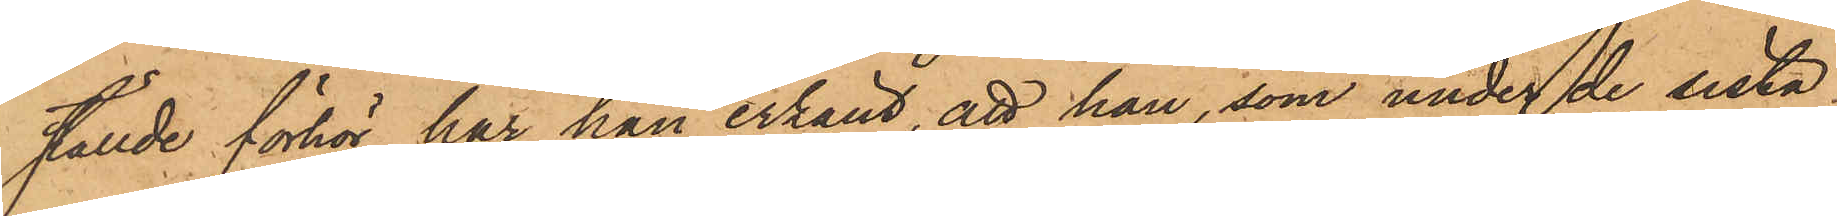ställde förhör har han erkänt, att han, som under de sista
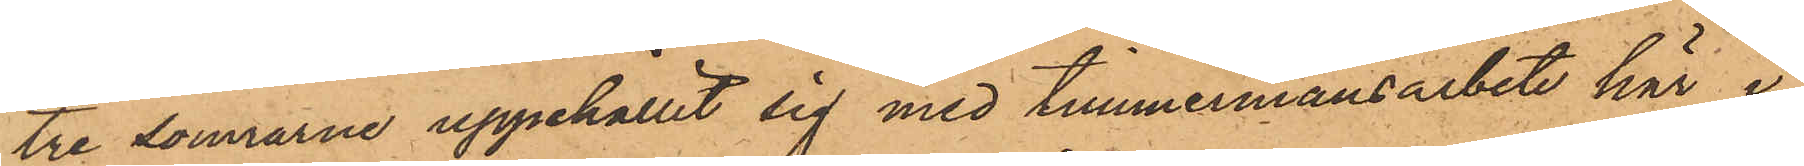tre somrarne uppehållit sig med timmermansarbete här i
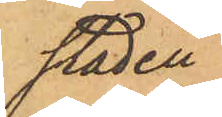staden.
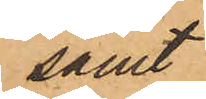samt
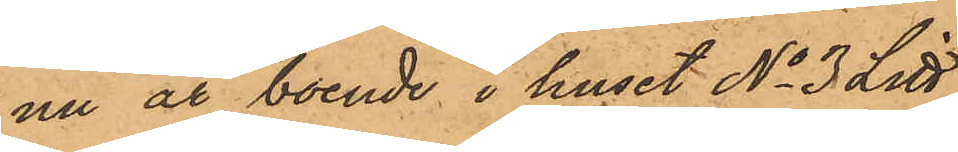nu är boende i huset No 3 Litt
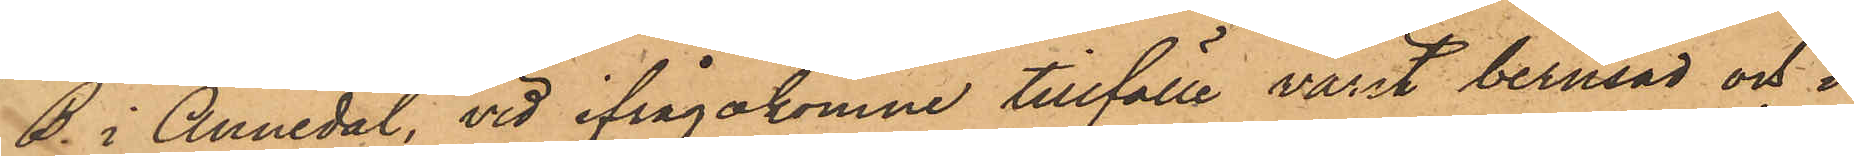B. i Annedal, vid ifrågakomne tillfälle varit berusad och i
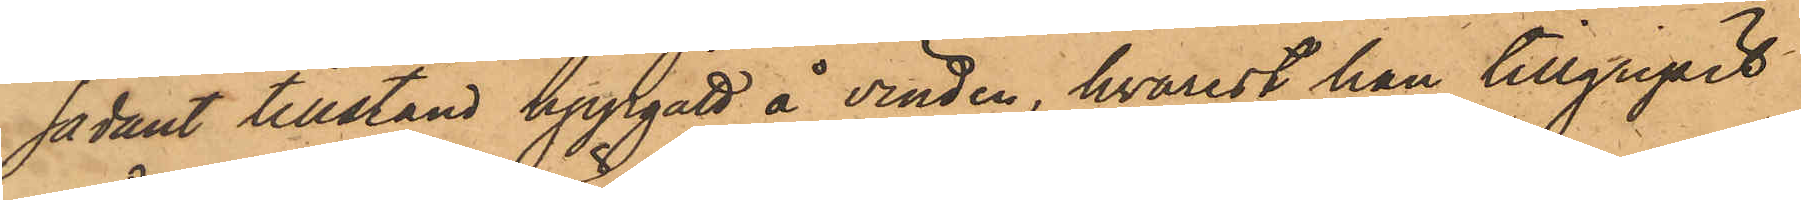sådant tillstånd uppgått å vinden, hvarest han tillgripit
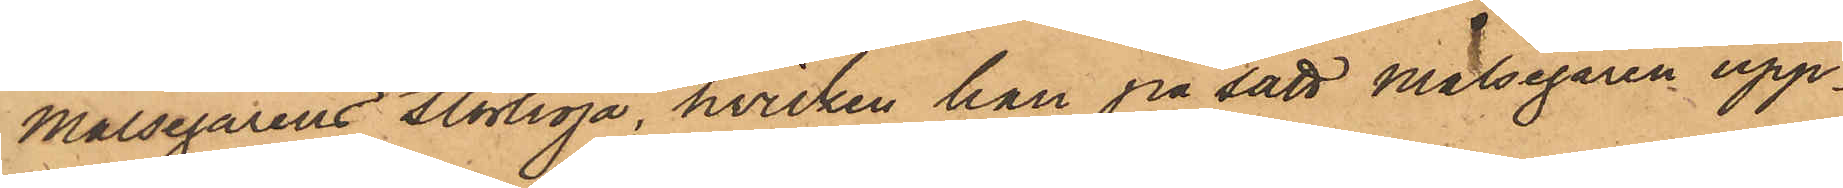Målsegarens stortröja, hvilken han på sätt målsegaren upp¬
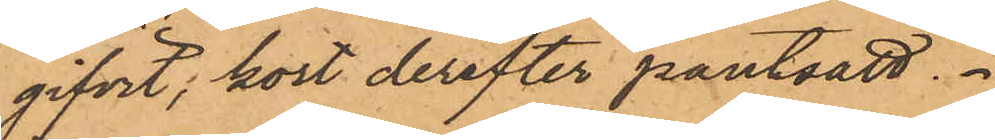gifvit, kort derefter pantsatt.
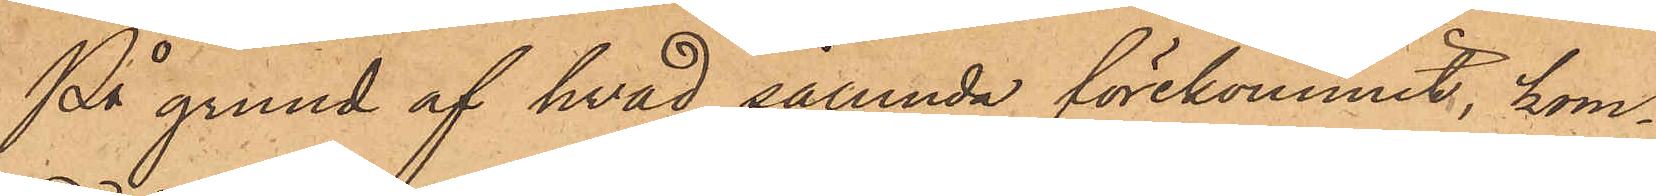På grund af hvad sålunda förekommit, kom¬
